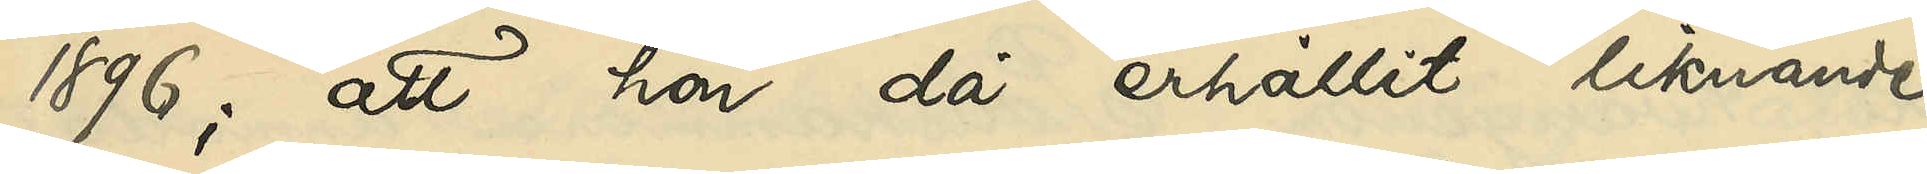1896; att hon då erhållit liknande
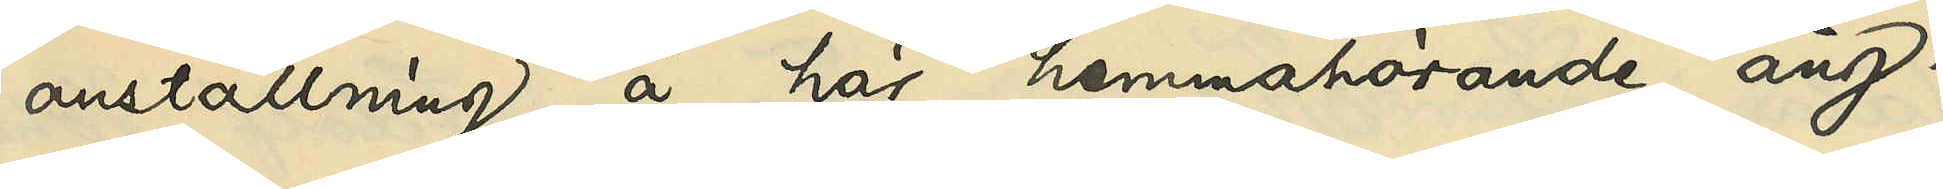anställning å här hemmahörande ång¬
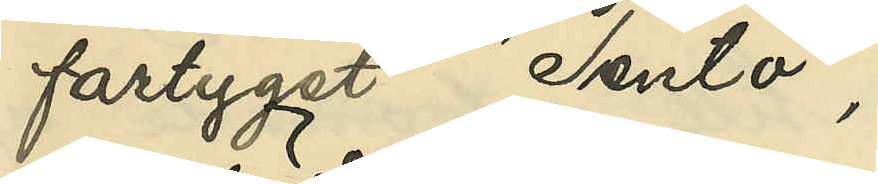fartyget "Tento"
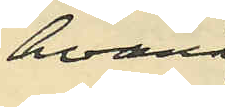hvarå
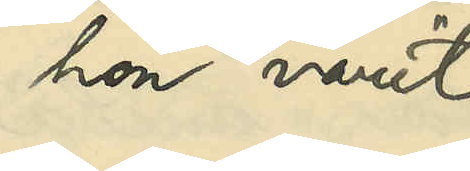hon varit
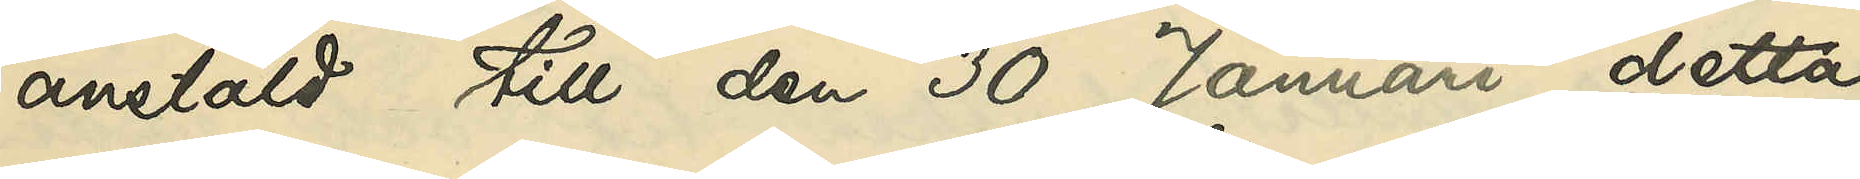anstäld till den 30 Januari detta
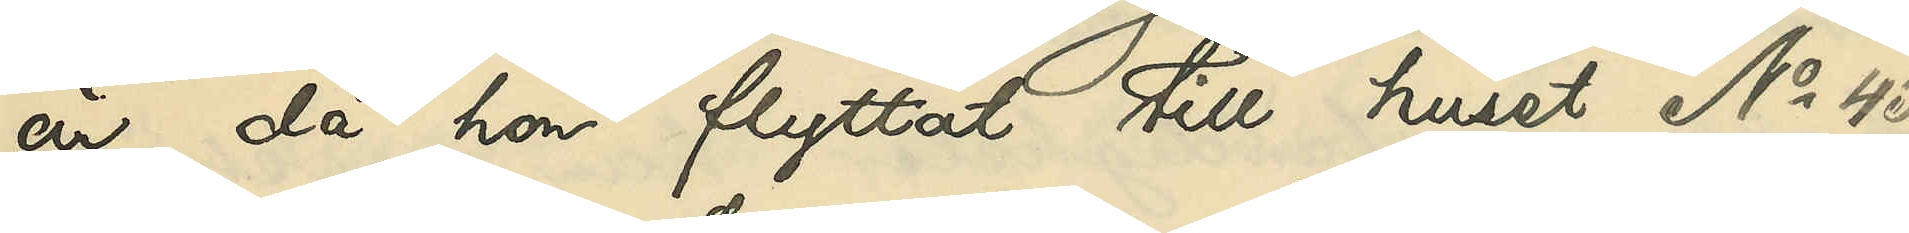år, då hon flyttat till huset No 45
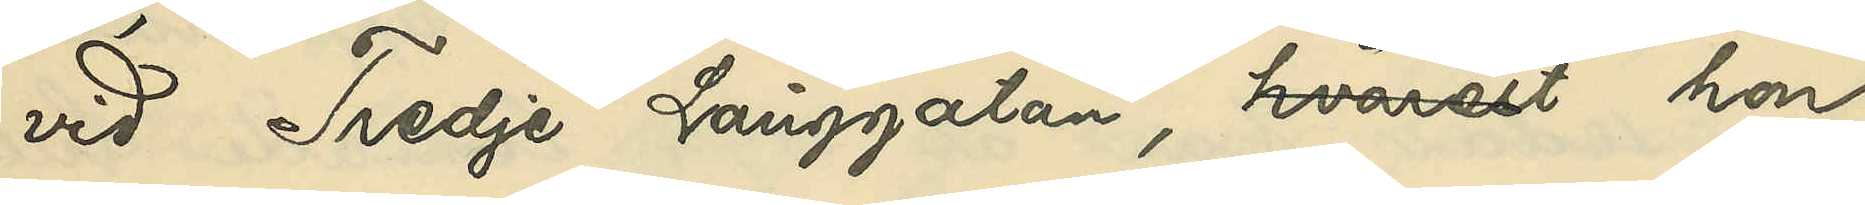vid Tredje Långgatan, der hon
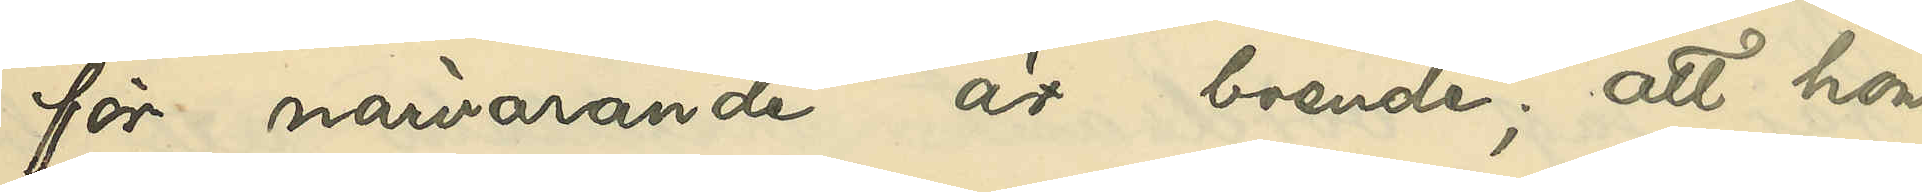för närvarande är boende; att hon
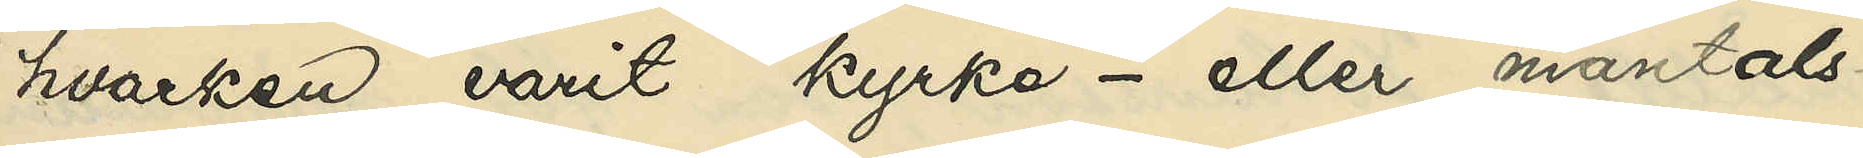hvarken varit kyrko- eller mantals¬
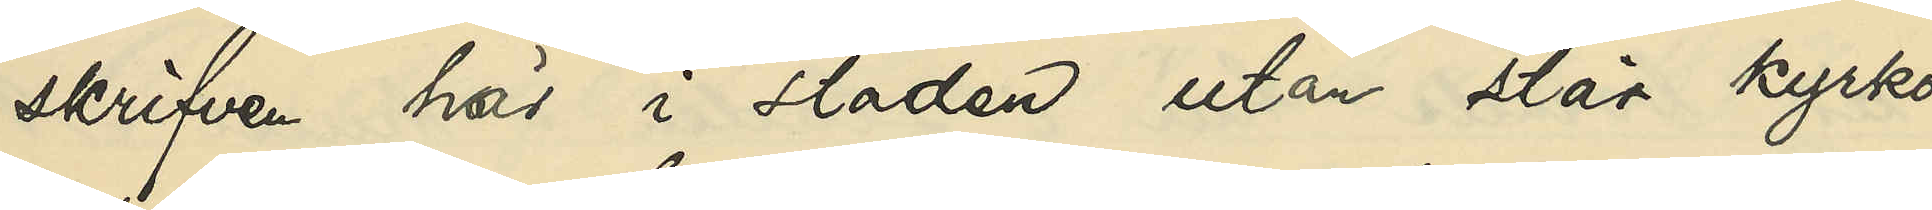skrifven här i staden utan står kyrko¬
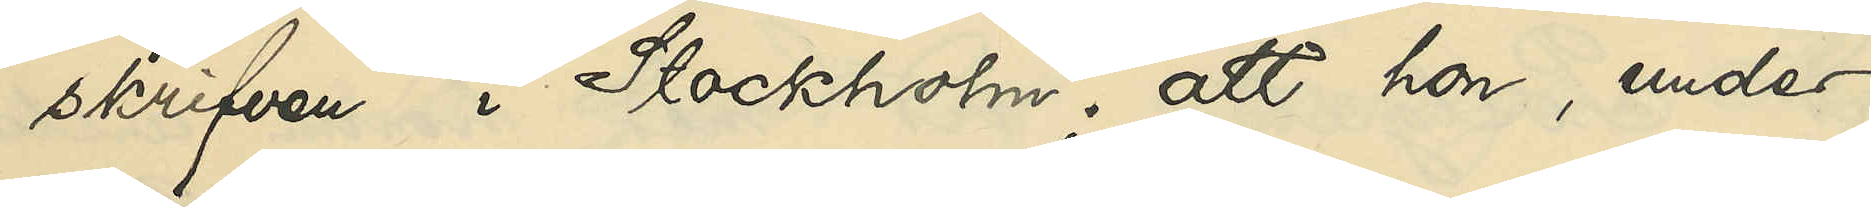skrifven i Stockholm; att hon, under
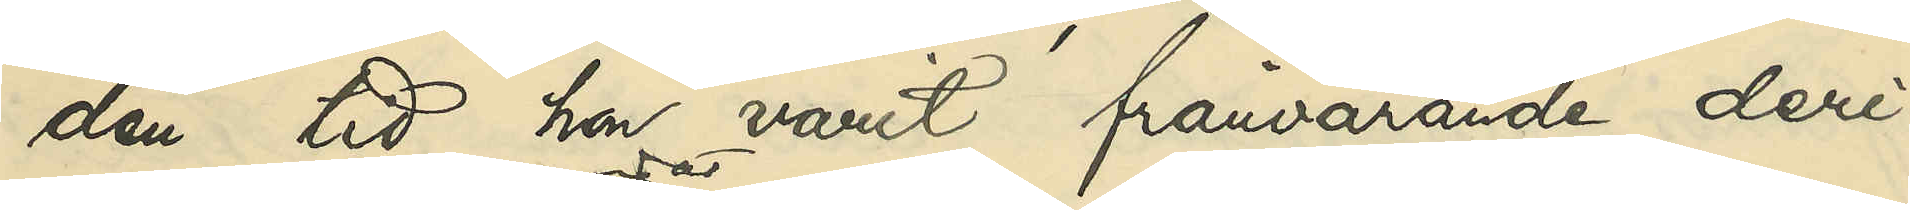den tid hon varit frånvarande deri¬
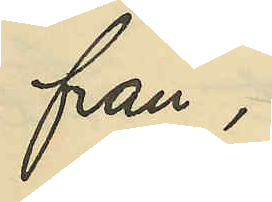från,
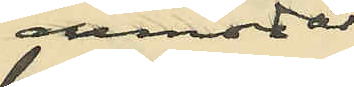anmodat
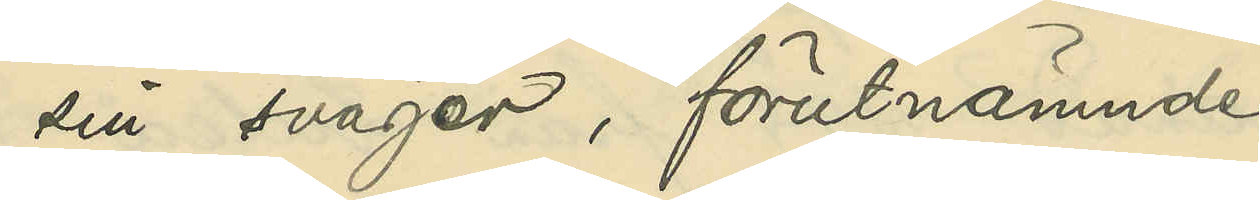sin svåger, förutnämnde
